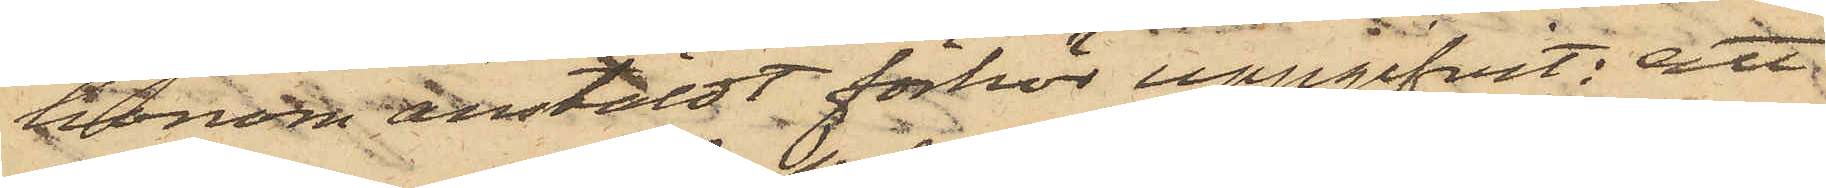honom anstäldt förhör uppgifvit; att
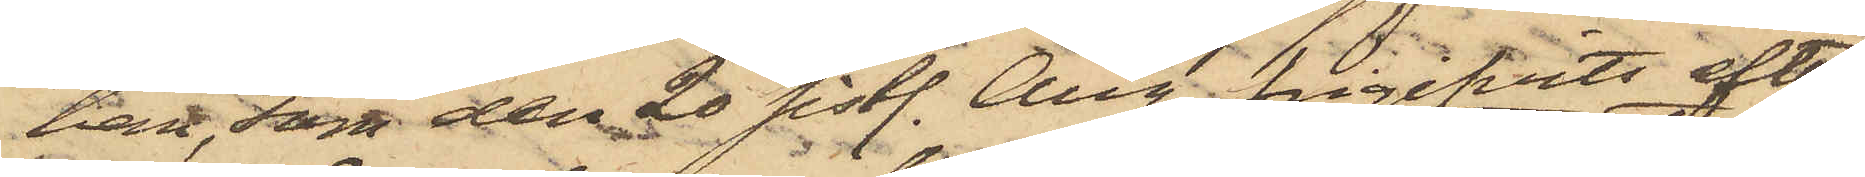han, som den 20 sistl. Aug. frigifvits efter
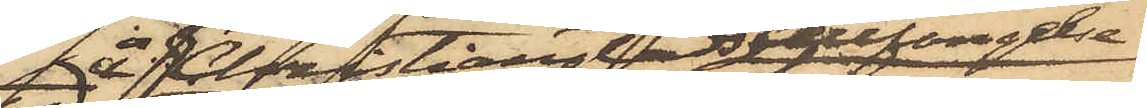å Christianstads Cellfängelse
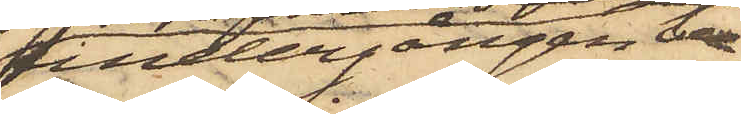undergången be¬
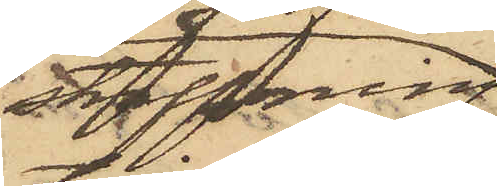straffning
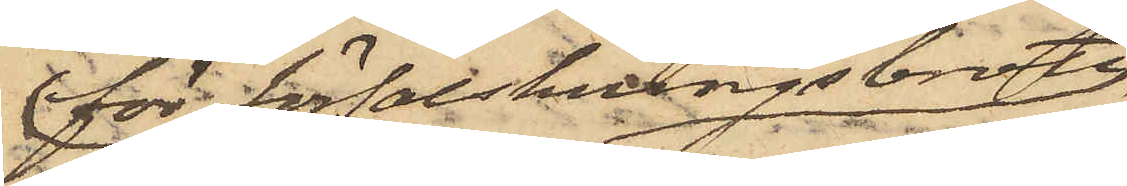för förfalskningsbrott
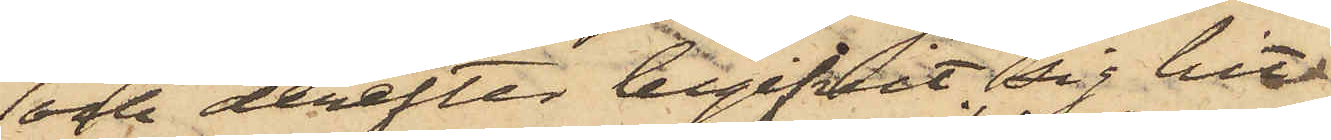och derefter begifvit sig hit
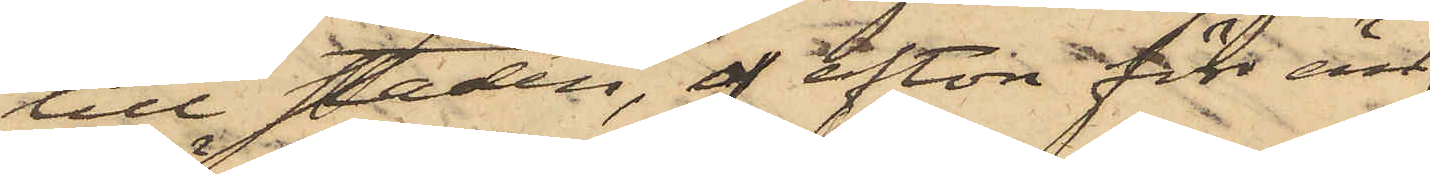till staden, afton förr än
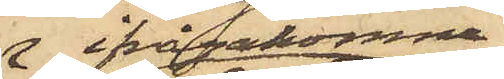ifrågakomne
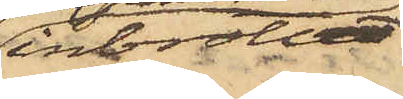inbrottet
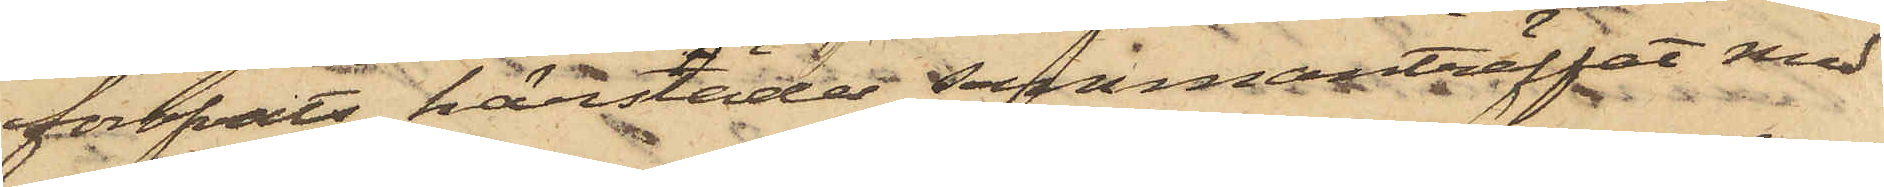föröfvats härstädes sammanträffat med
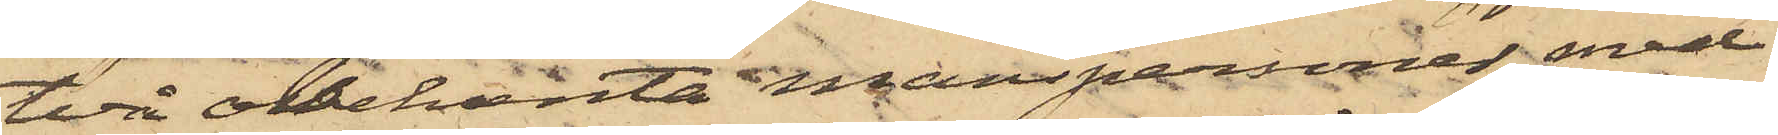två obekanta manspersoner, med
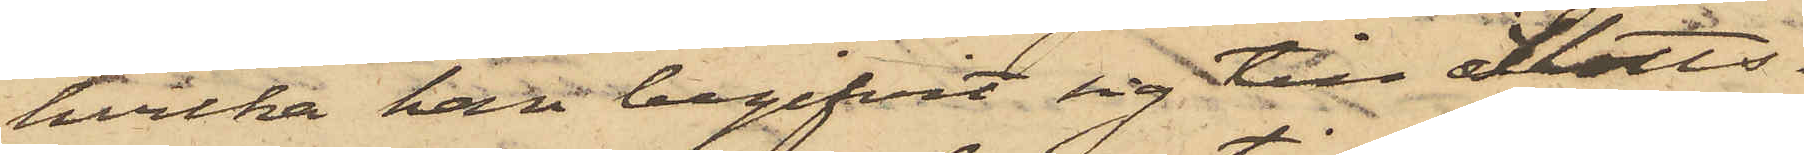hvilka han begifvit sig till Slotts¬
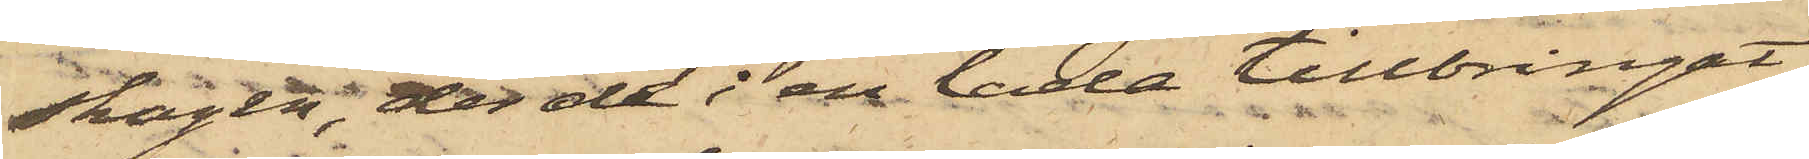skogen, der de i en lada tillbringat
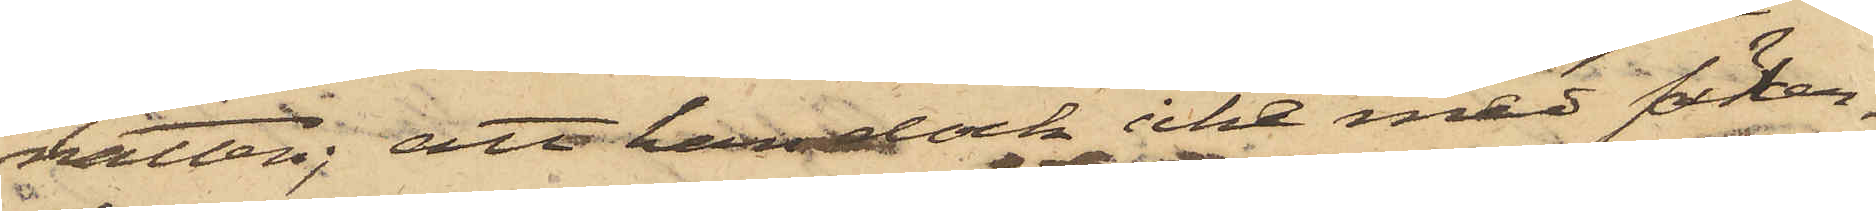natten; att han dock icke med säker¬
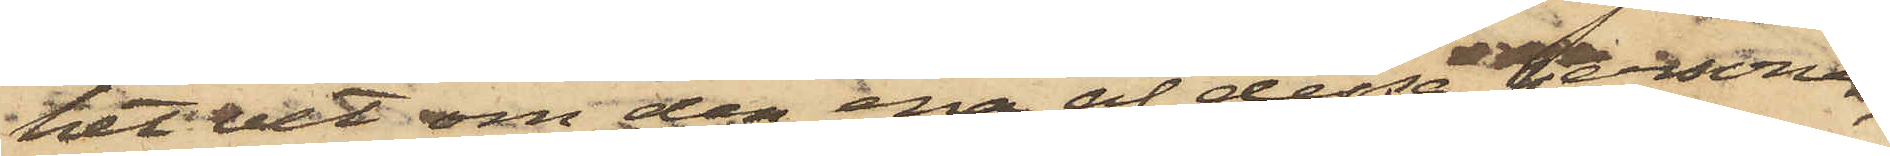het vet om den ena af dessa personer,
